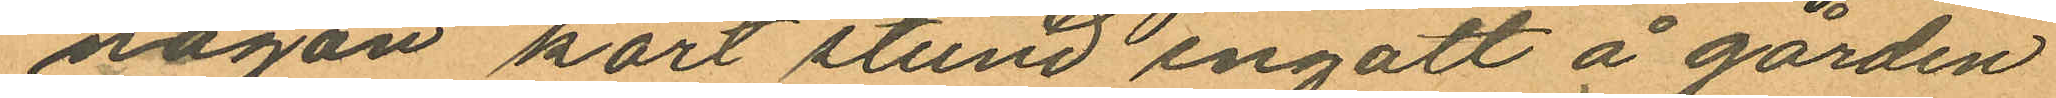någon kort stund ingått å gården
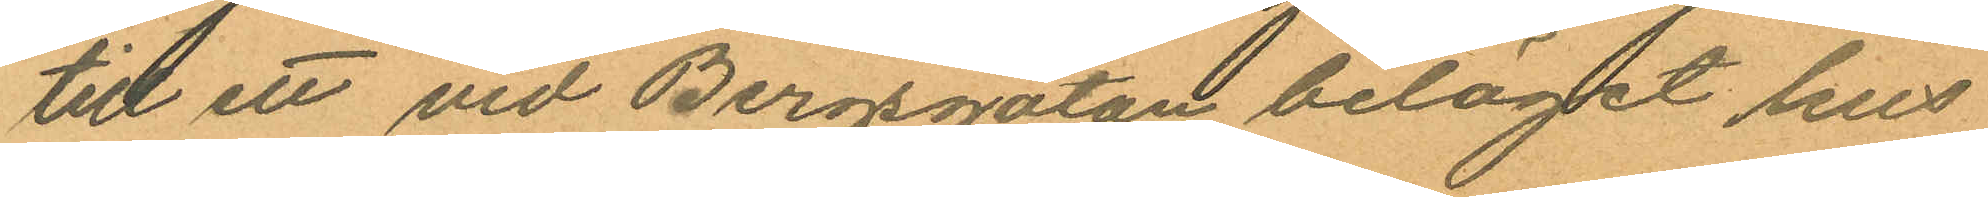till ett vid Bergsgatan beläget hus
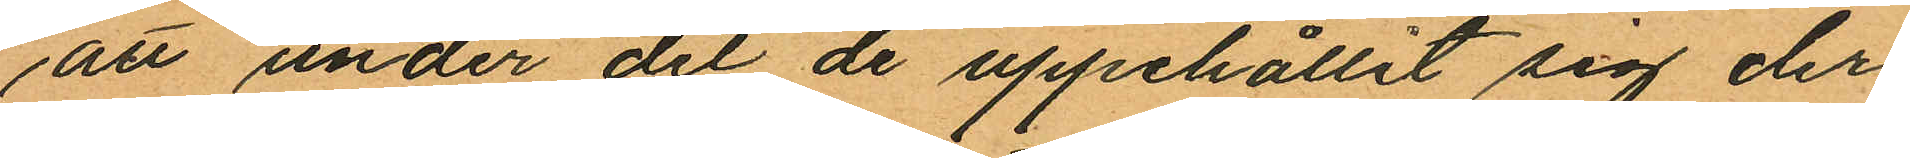att under det de uppehållit sig der
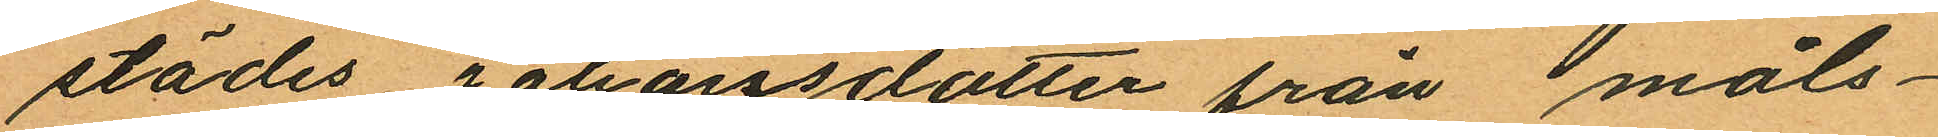städes Johanssdotter från måls¬
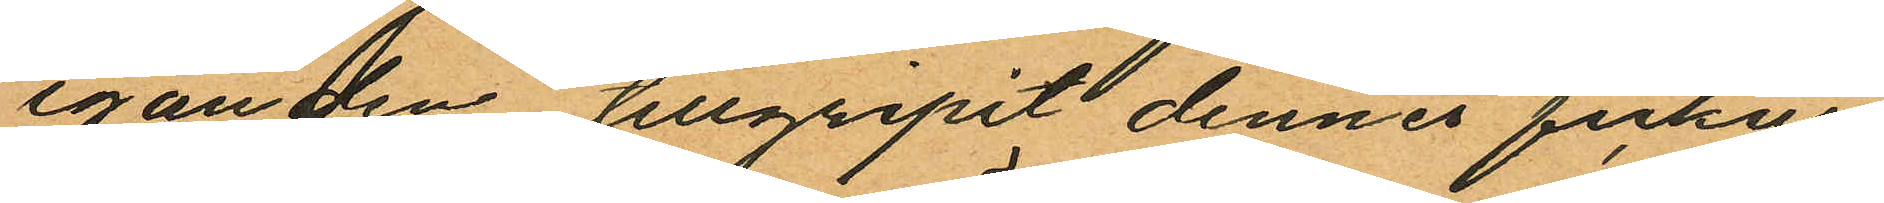eganden tillgripit dennes fickur
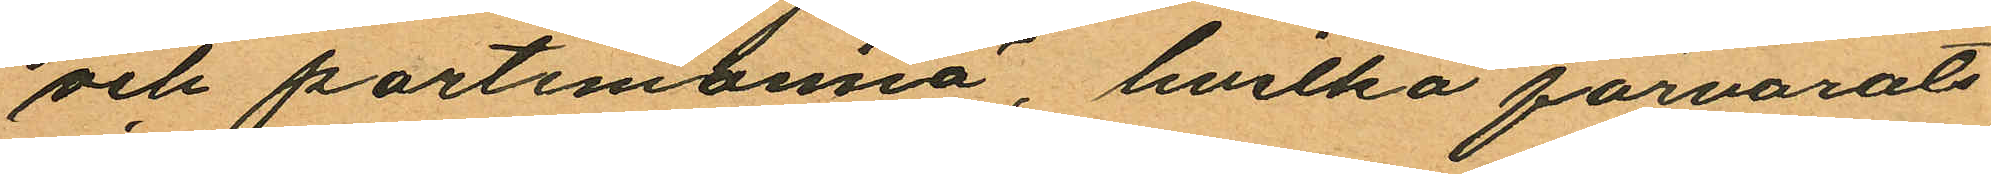och portemonnä, hvilka förvarats
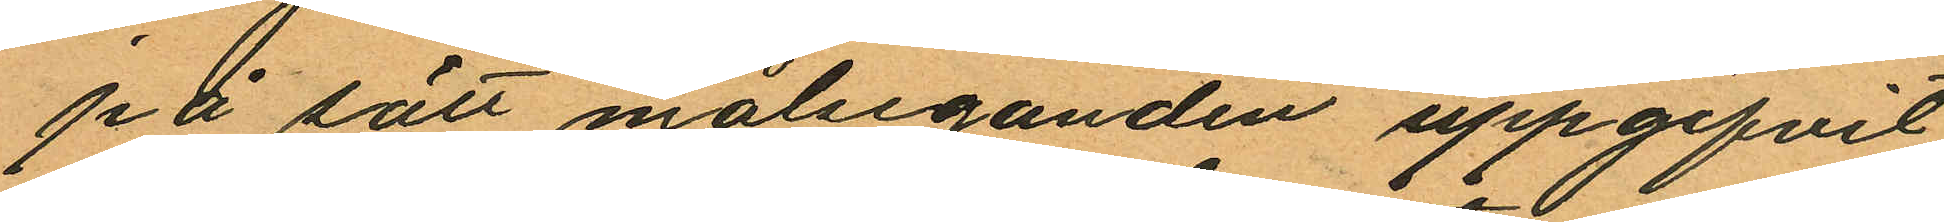på sätt målseganden uppgifvit
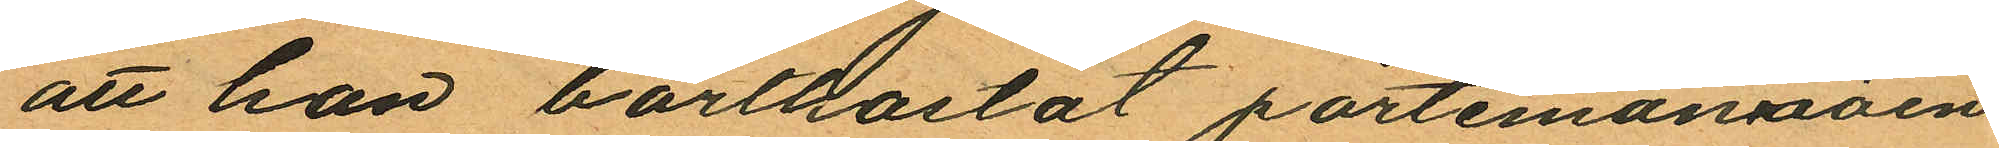att hon bortkastat portemonnäen
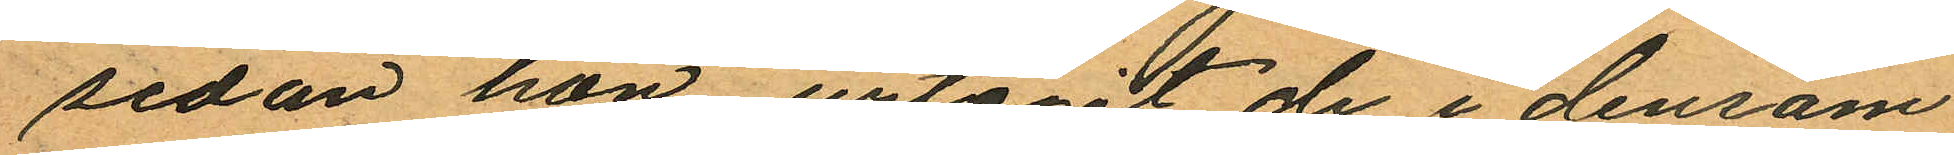sedan hon urtagit de i densam¬
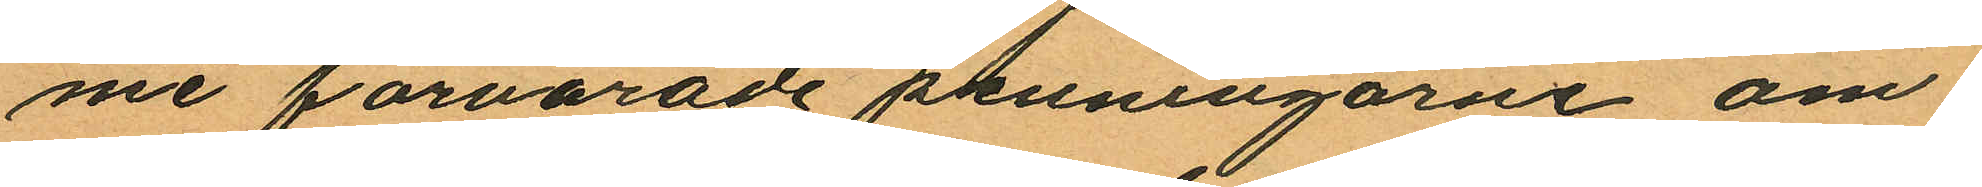me förvarade penningarne om¬
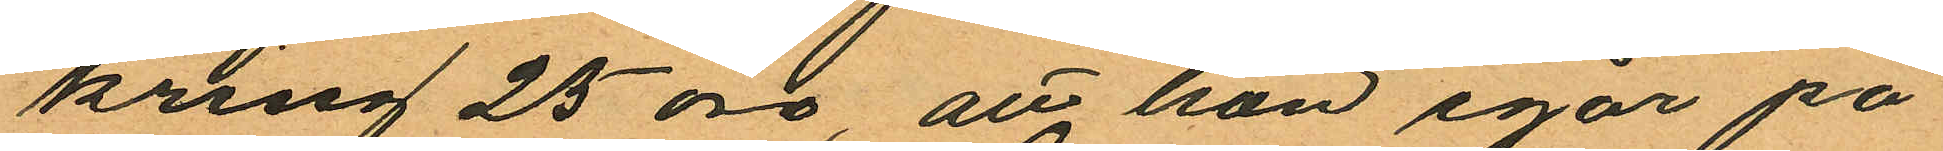kring 25 öre, att hon igår på
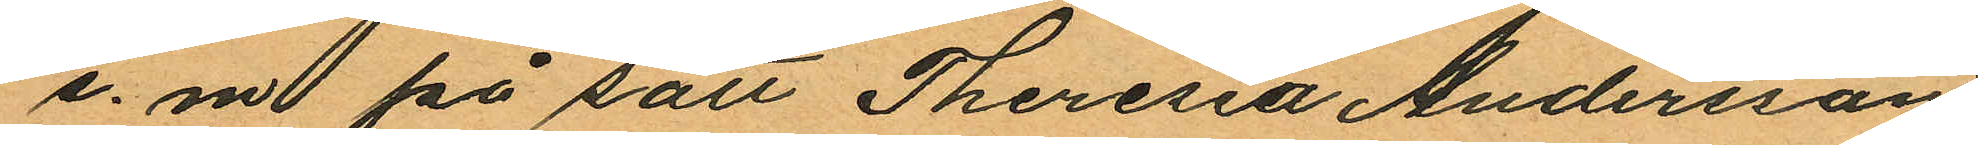e. m. på sätt Theresia Andersson
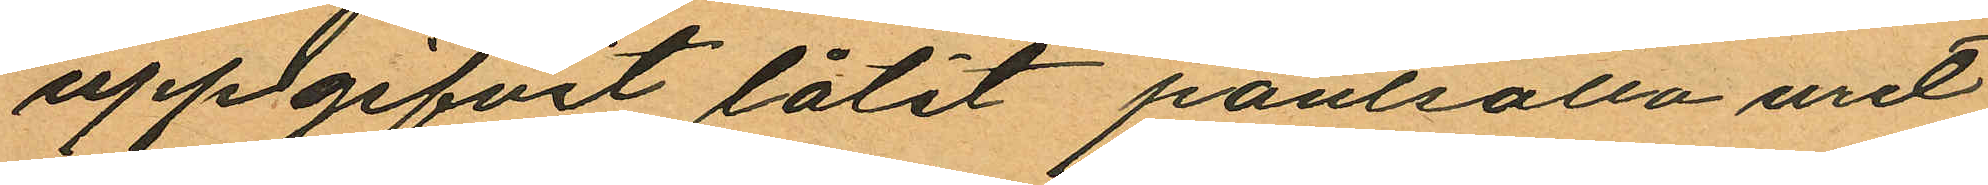uppgifvit låtit pantsätta uret
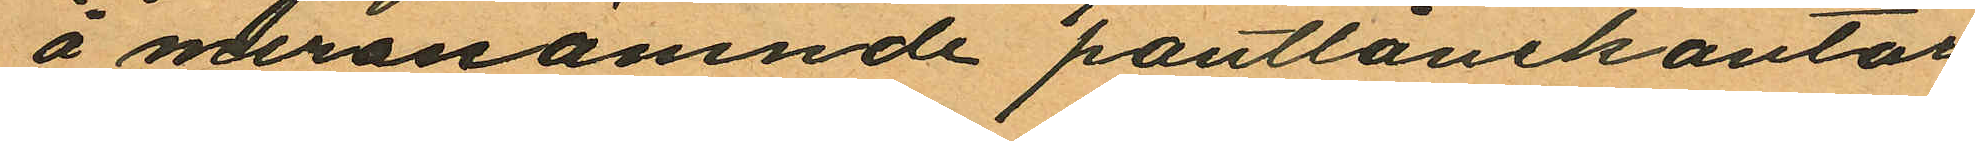å meranämnde pantlånekontor
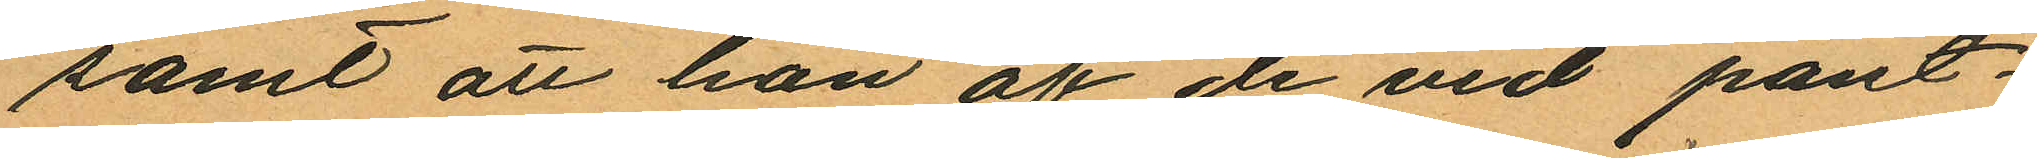samt att hon af de vid pant¬
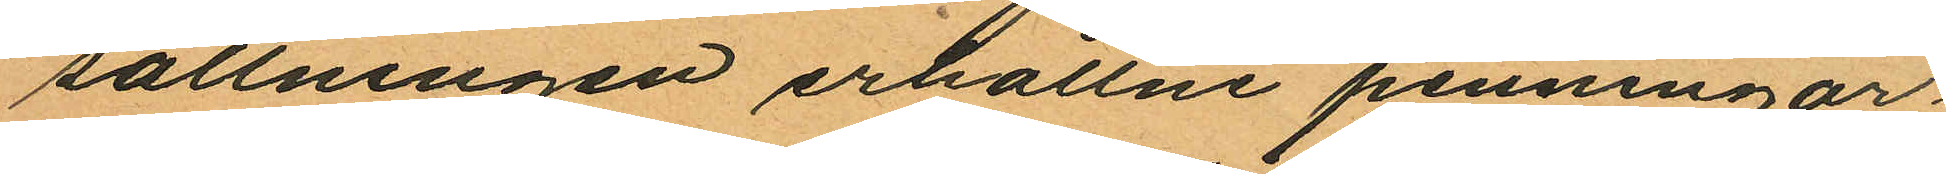sattningen erhållne penningar
